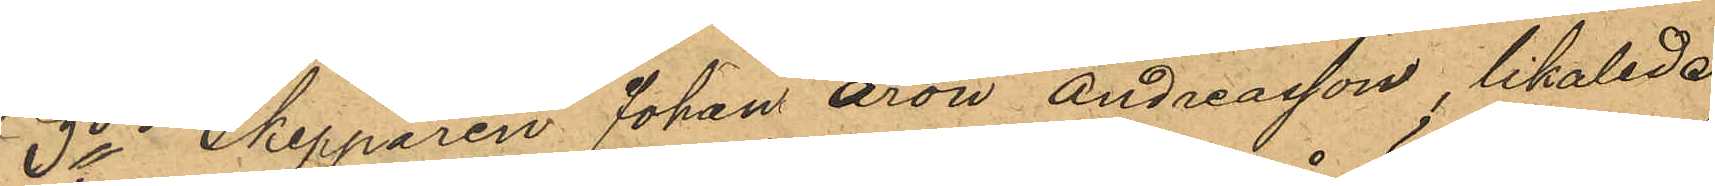3o Skepparen Johan Aron Andreasson, likaledes
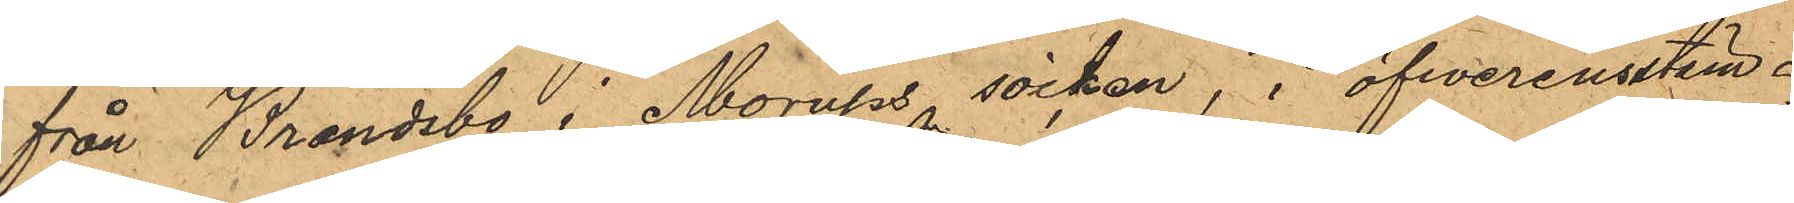från Brandsbo i Morups socken, i öfwerensstäm¬
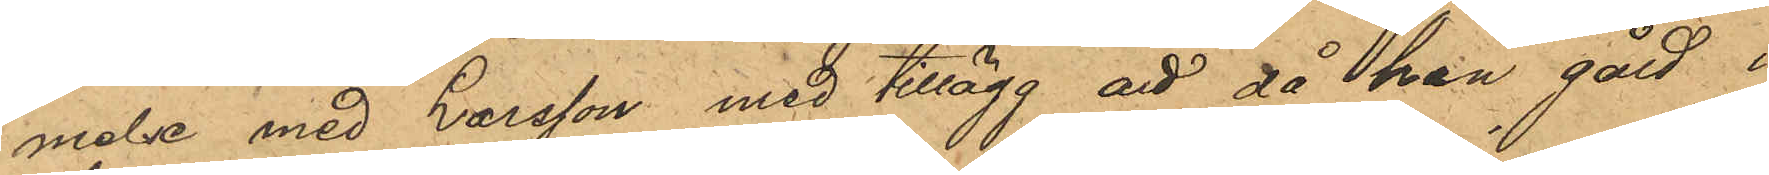melse med Larsson med tillägg att då han gått i
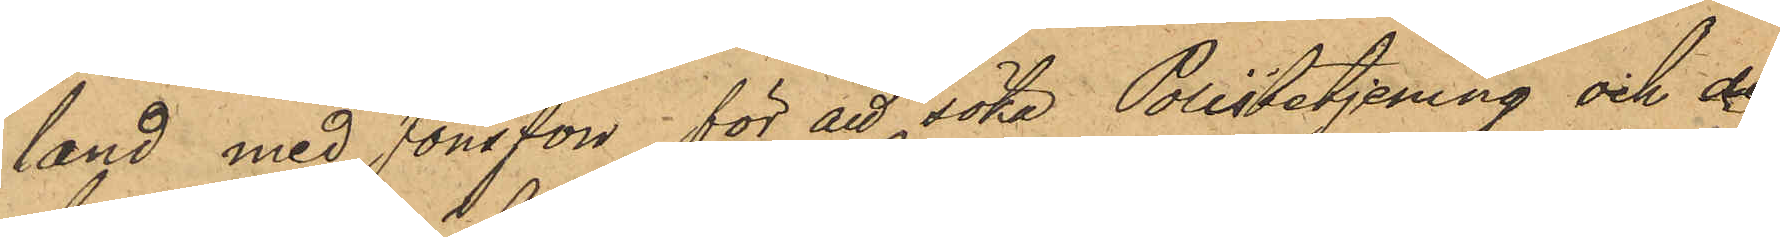land med Jönsson för att söka Polisbetjening och de
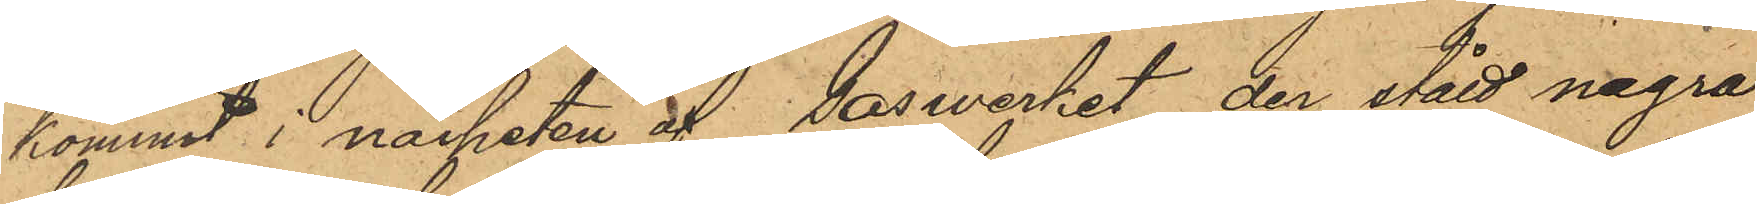kommit i närheten af Gaswerket der stått några
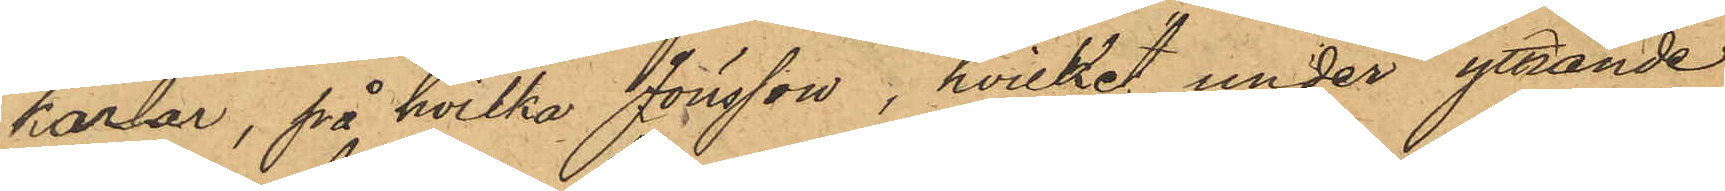karlar, på hvilka Jönsson, hvilket, under yttrande
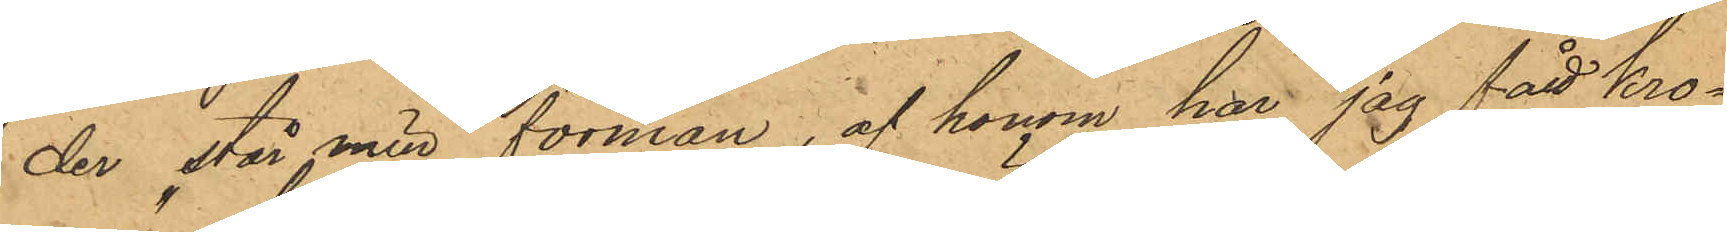"der står min förman, af honom har jag fått kro¬
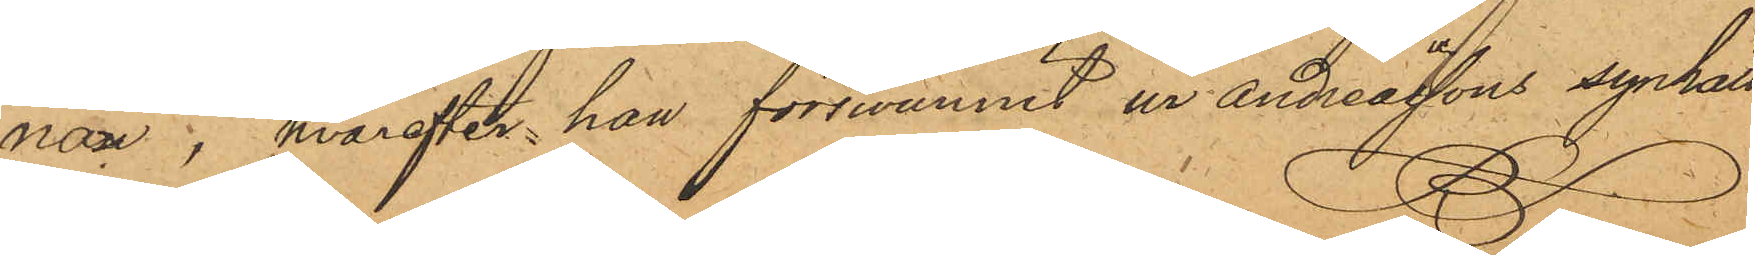nan", hvarefter han förswunnit ur Andreassons synhåll
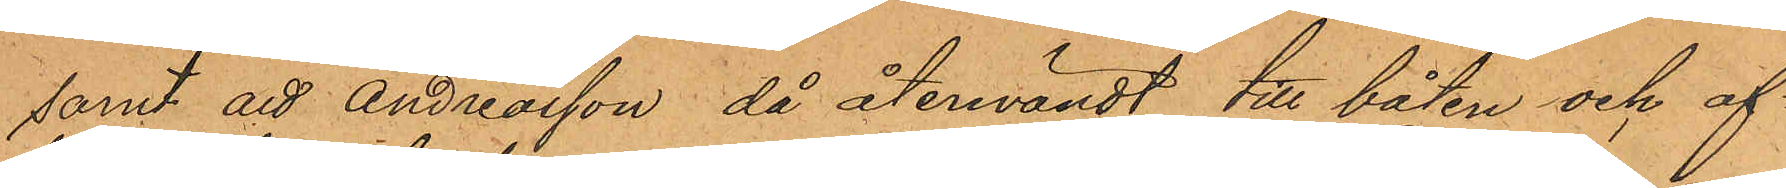samt att Andreasson, då återvändt till båten och af¬
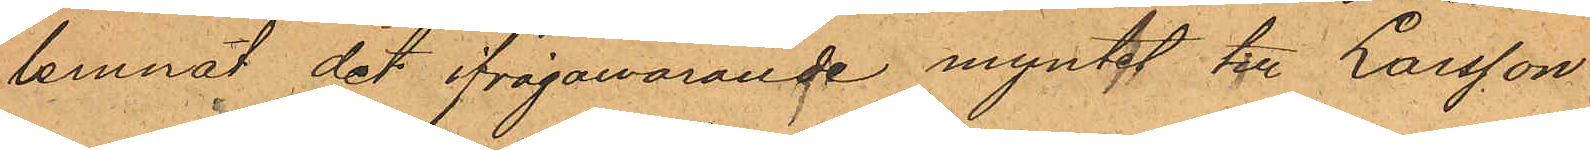lemnat det ifrågawarande myntet tll Larsson.
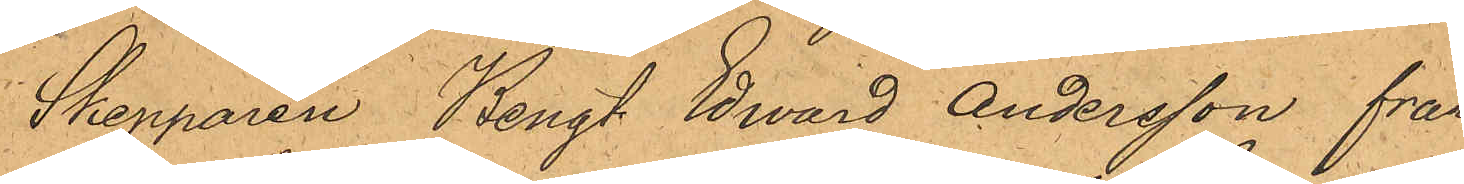Skepparen Bengt Edward Andersson från
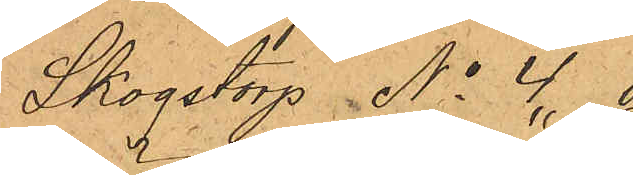Skogstorp No 4 i
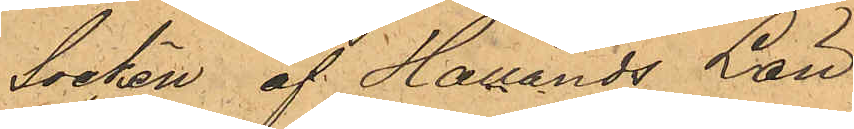Socken af Hallands Län
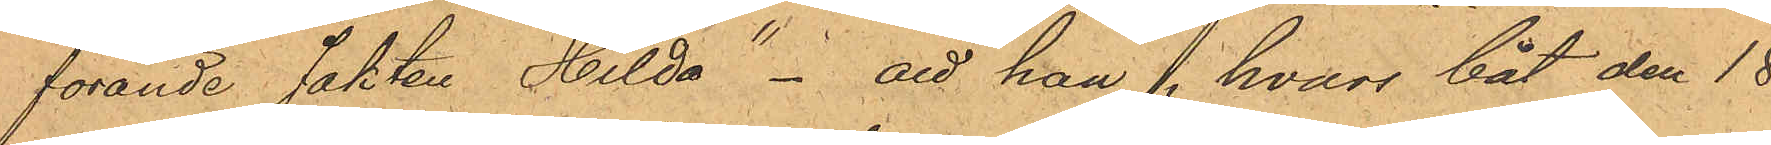förande Jakten "Hilda" - att han, hvars båt den 18
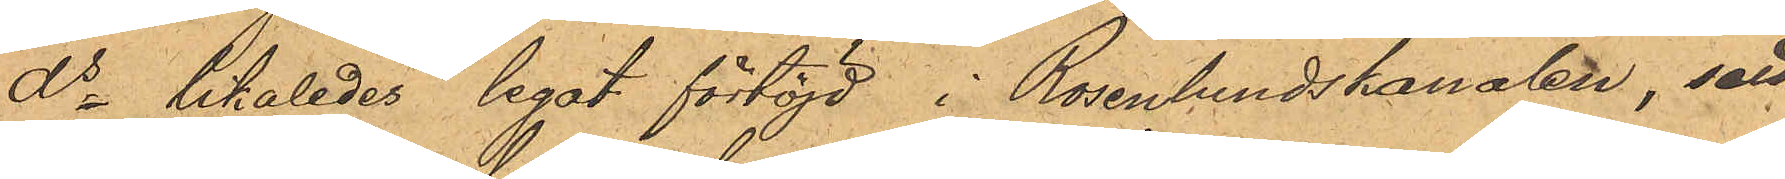 ds likaledes legat förtöjd i Rosenlundskanalen, sett
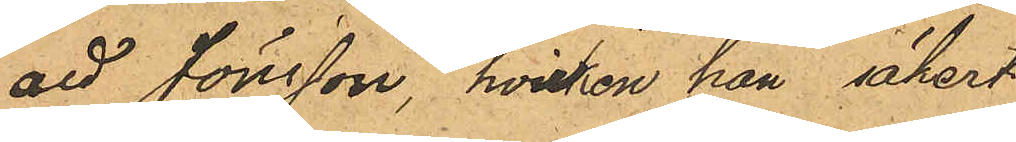att Jönsson, hvilken han säkert
